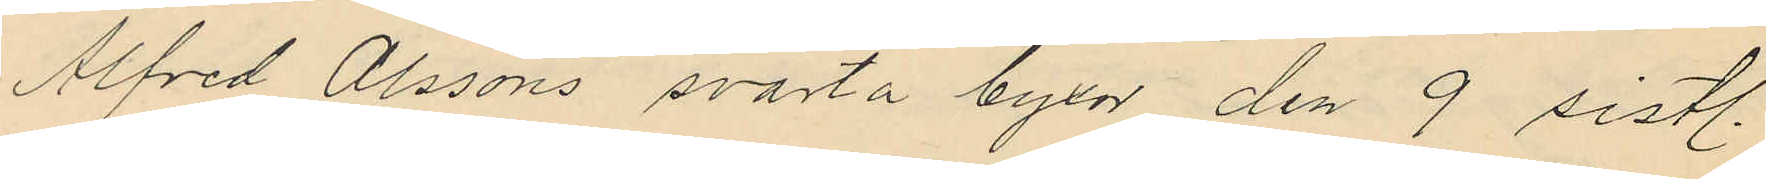Alfred Olssons svarta byxor den 9 sistl.
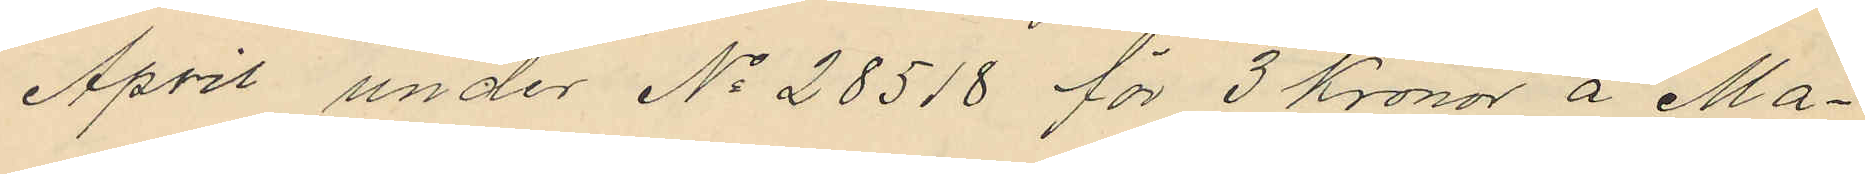April under No 28518 för 3 Kronor å Ma¬
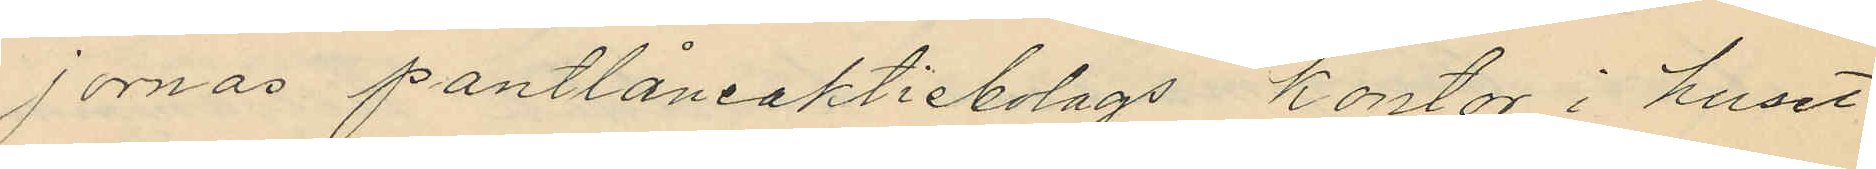jornas pantlåneaktiebolags kontor i huset
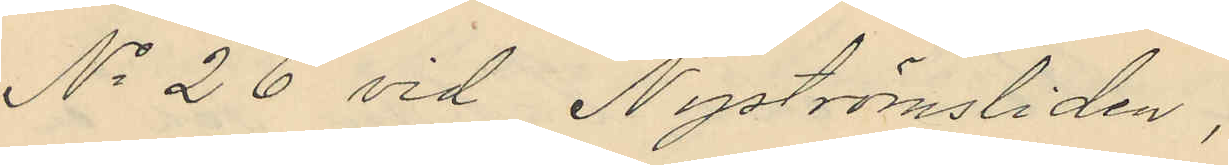No 26 vid Nyströmsliden,
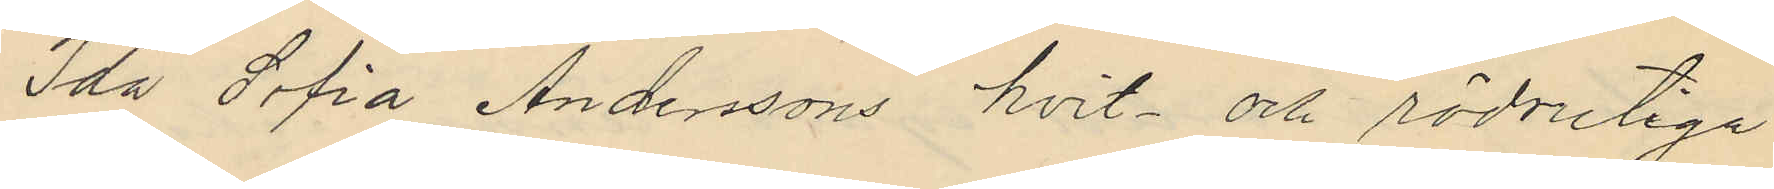Ida Sofia Anderssons hvit- och rödrutiga
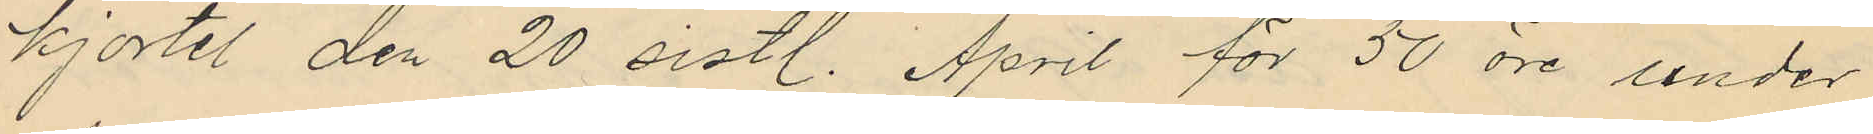kjortel den 20 sistl. April för 50 öre under
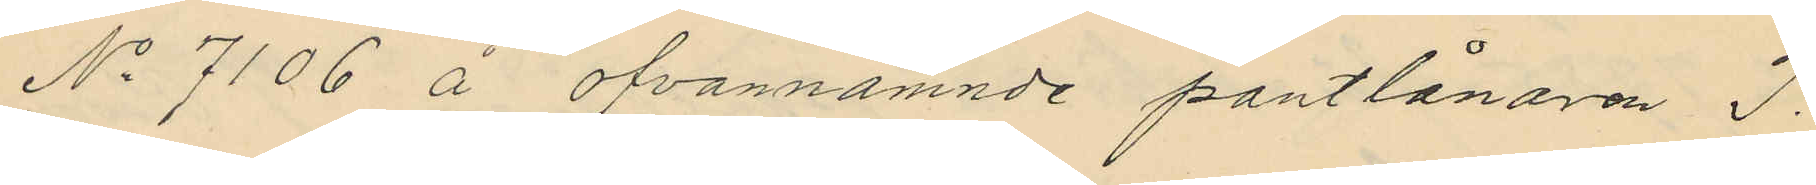No 7106 å ofvannämnde pantlånaren J.
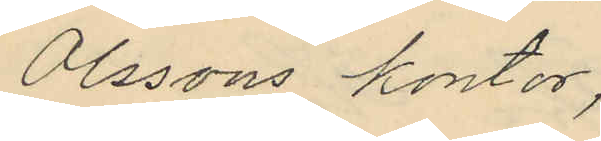Olssons kontor,
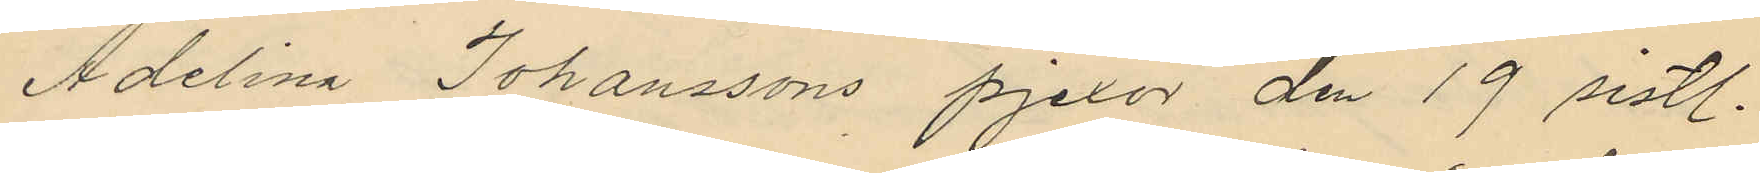Adelina Johanssons pjexor den 19 sistl.
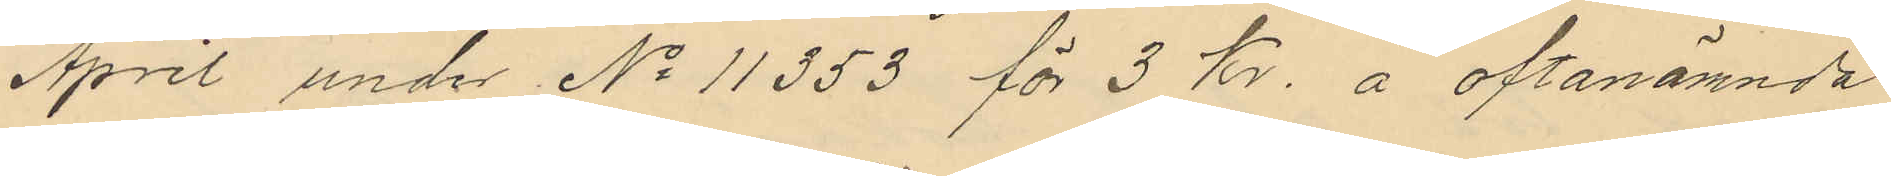April under No 11353 för 3 kr. å oftanämnda
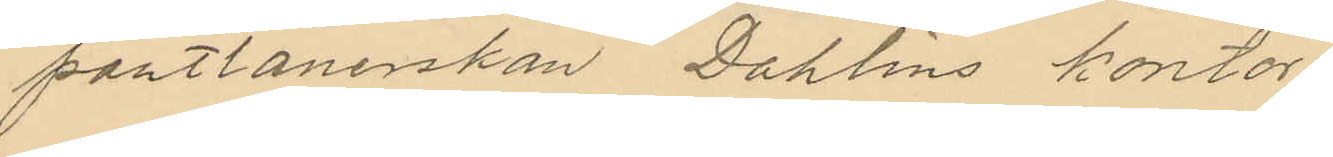pantlånerskan Dahlins kontor
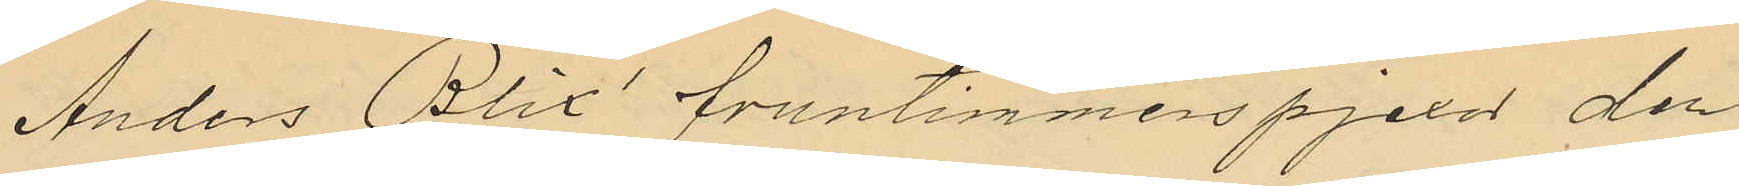Anders Blix´ fruntimmerspjexor den
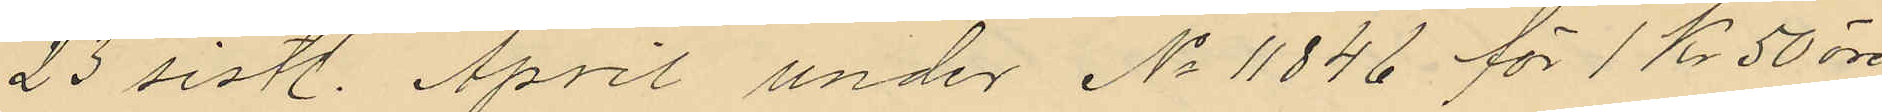23 sistl. April under No 11846 för 1 Kr 50 öre
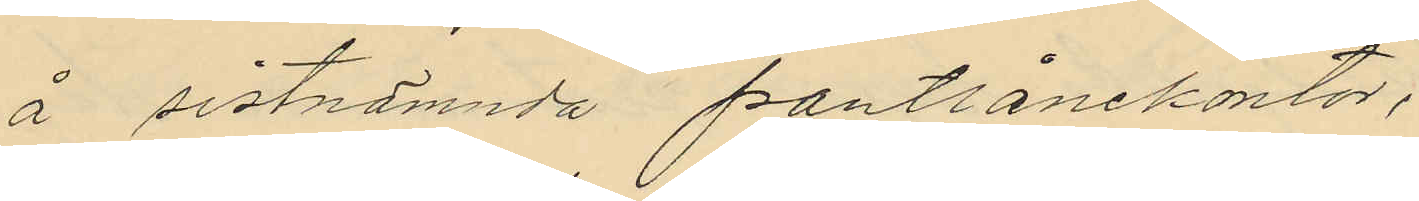å sistnämnda pantlånekontor;
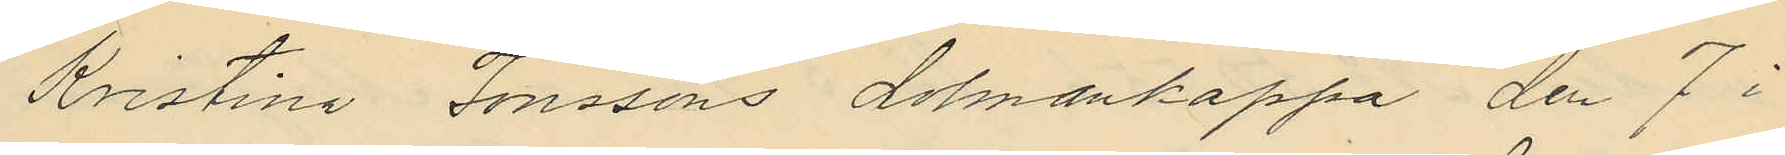Kristina Jonssons dalmankappa den 7 i
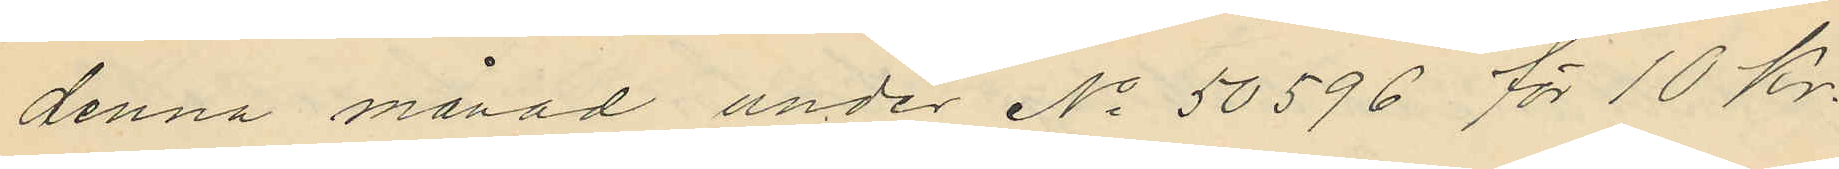denna månad under No 50596 för 10 Kr.
